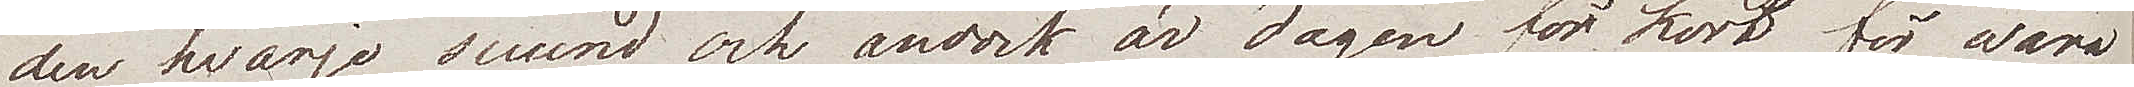den hvarje secund och ändock är dagen för kort för wåra
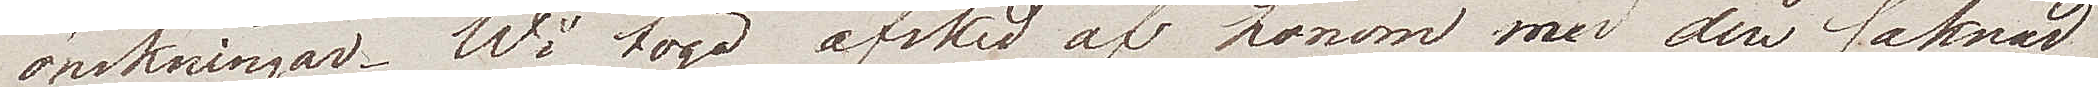önskningar. Wi togo afsked af honom med den saknad
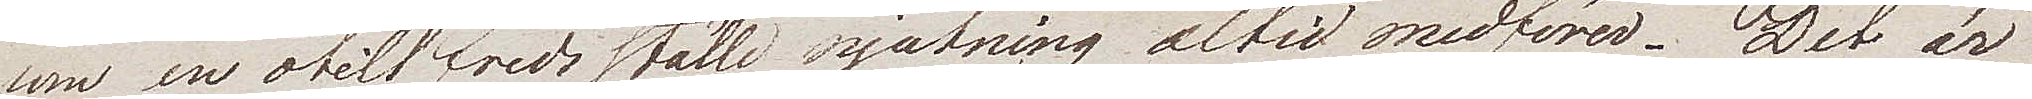som en otillfredställd njutning alltid medförer. Det är
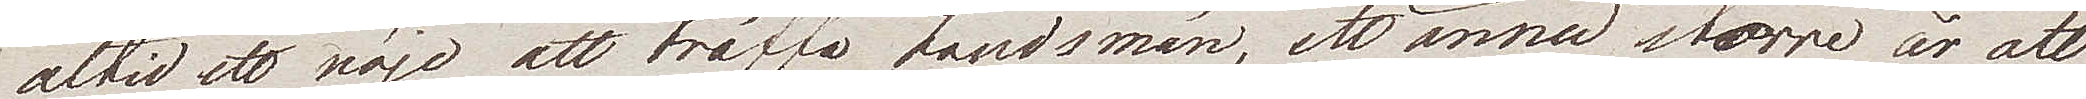alltid ett nöje att träffa Landsmän, ett ännu större är att
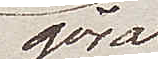göra
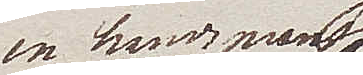en herremans
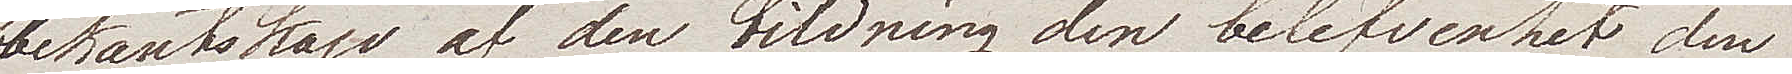bekantskap af den bildning den belefvenhet den
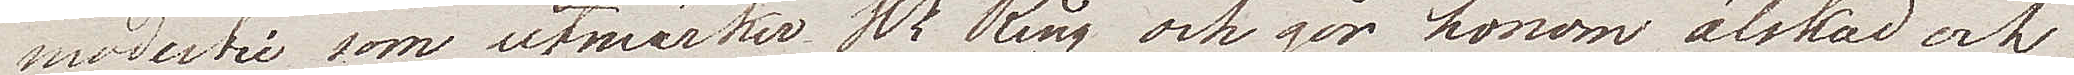modertie som utmärker Hr Ring och gör honom älskad och
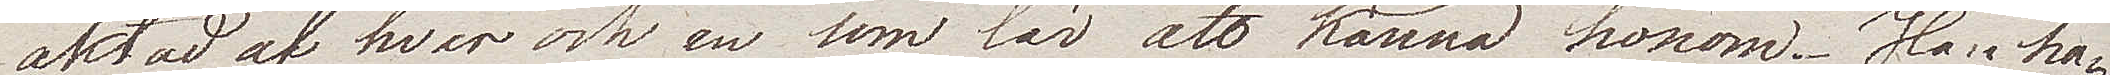aktad af hwar och en som lär att känna honom. Han ha¬
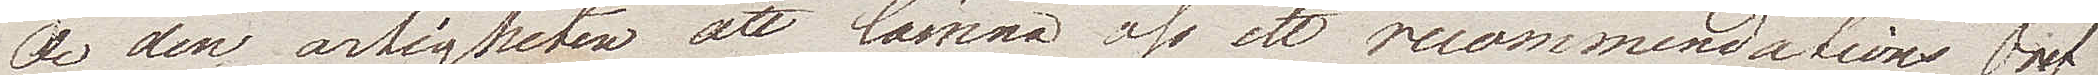de den artigheten att lämna oss et recommendations bref
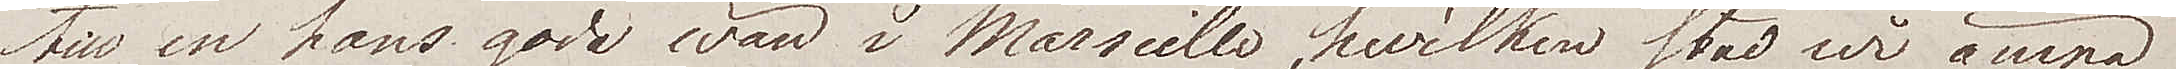till en hans gode wän i Marseille, hwilken stad wi ämna
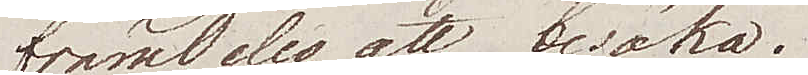framdeles att besöka.
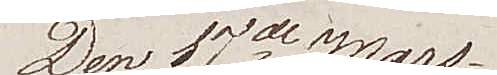Den 17de Mars
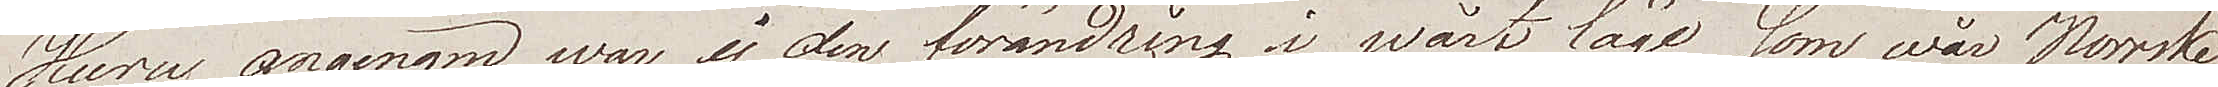Huru angenäm war ej den förändring i wårt som wår Norrske
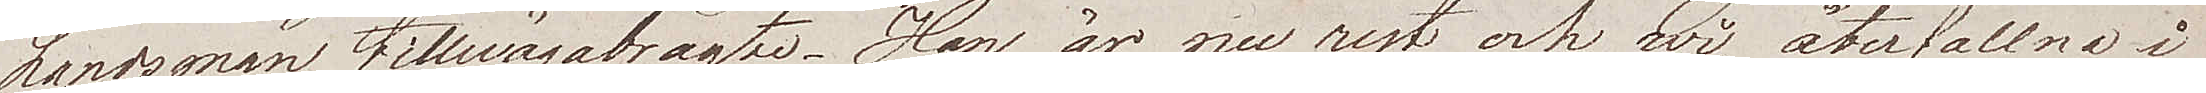Landsman tillwägabragte. Han är nu rest och wi, återfallna i
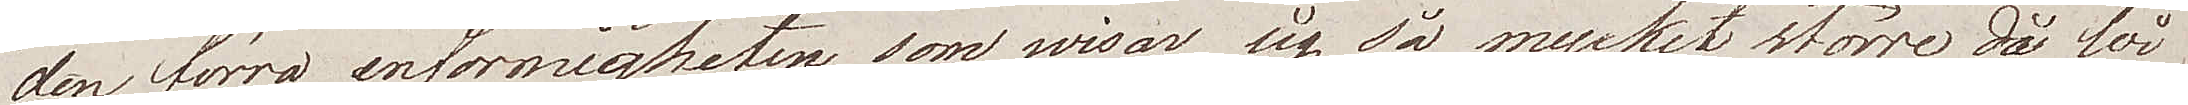den förra enformigheten som wisar sig så mycket större då wi
